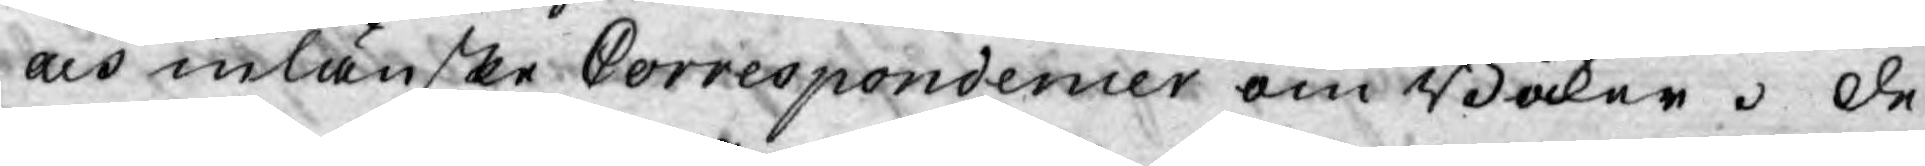och inlänske Correspondencer om Böcker. De
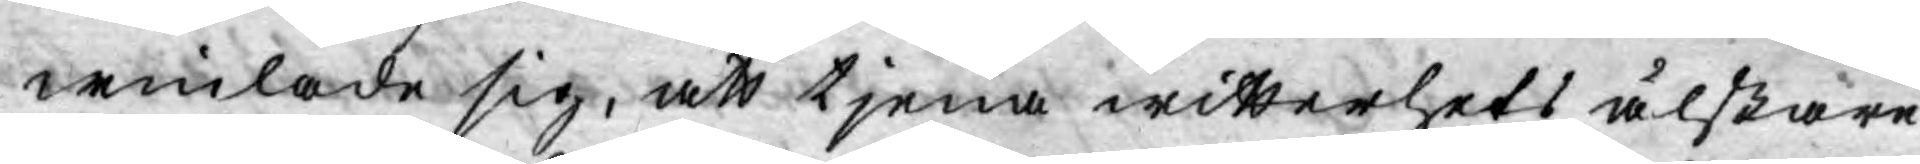winlade sig, att tjena witterhets älskare
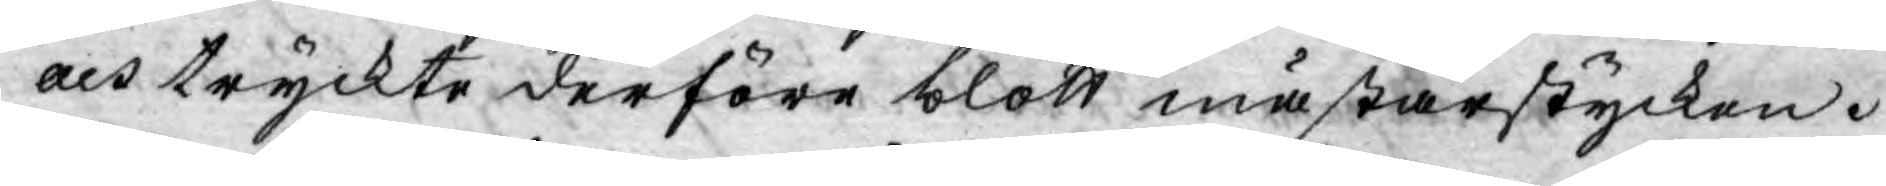och tryckte derföre blott mästarstycken.
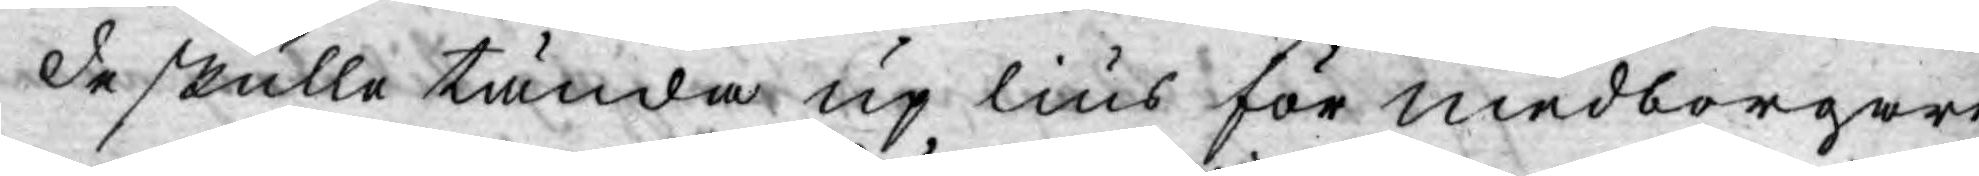De skulle tända up lius för medborgare
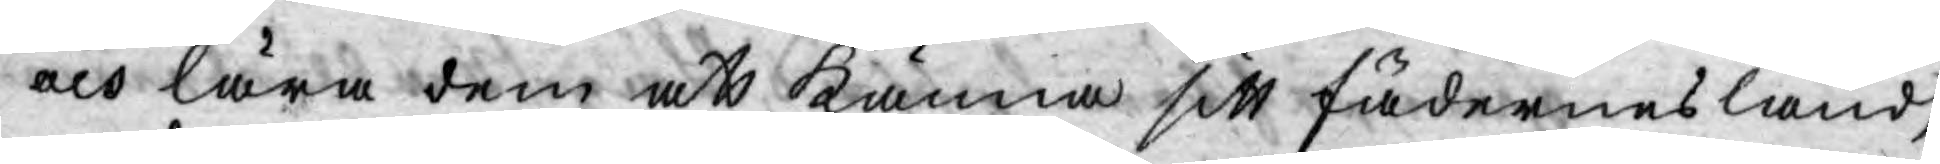och lära dem att känna sitt fädernesland,
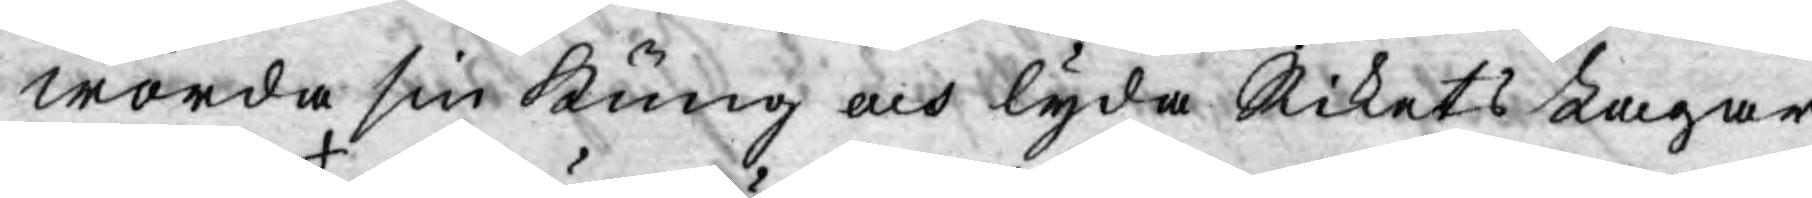wörda sin Kung och lyda Rikets Lagar.
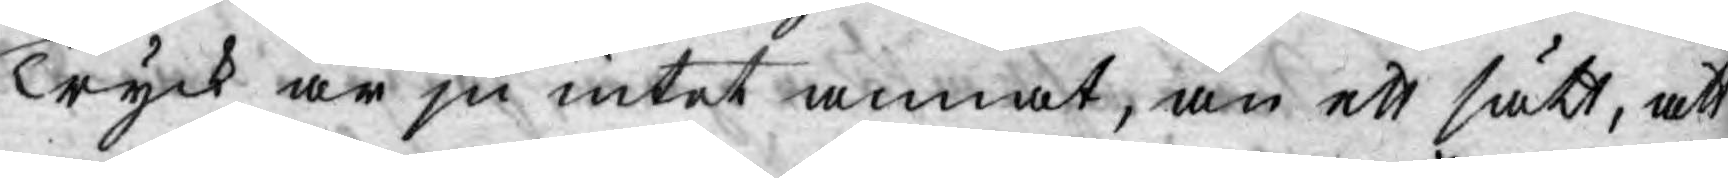Tryck är ju intet annat, än ett sätt, att
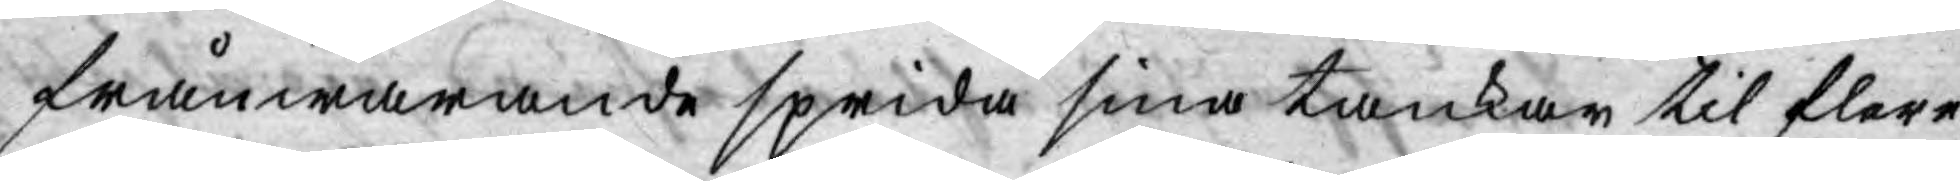frånwarande sprida sina tankar til flere.
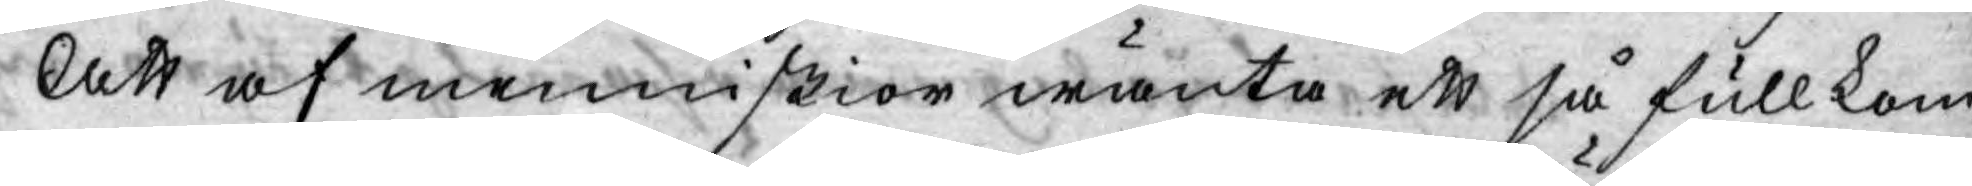Att af menniskior wänta ett så fullkom¬
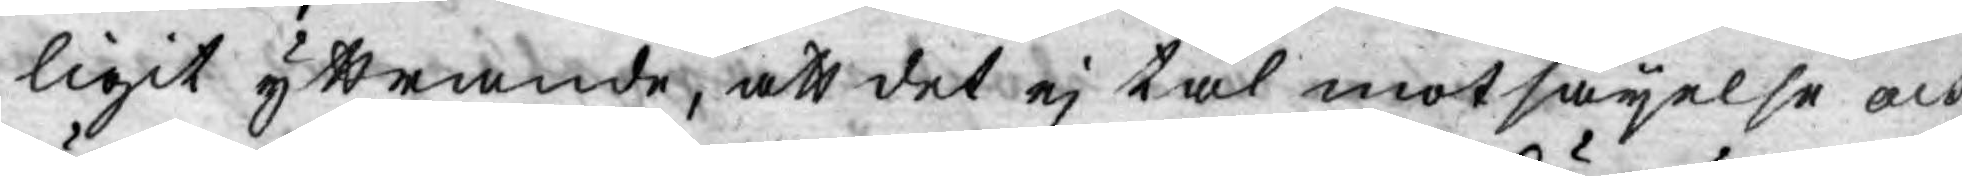ligit yttrande, att det ej tål motsäyelse och
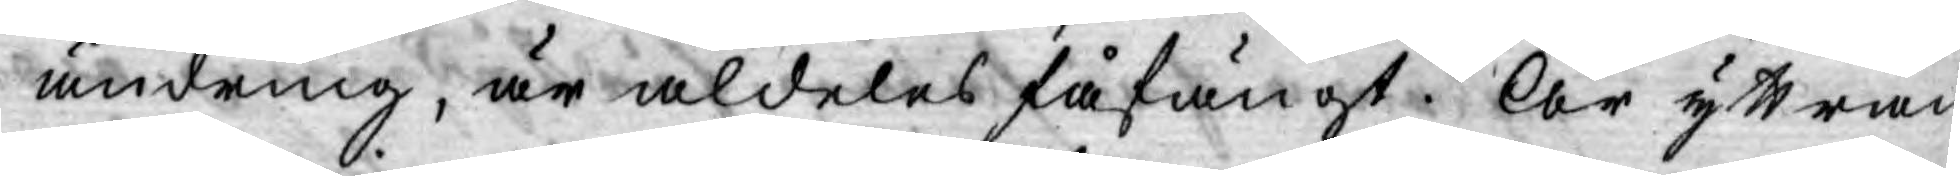ändring, är aldeles fåfängt. Är yttran¬
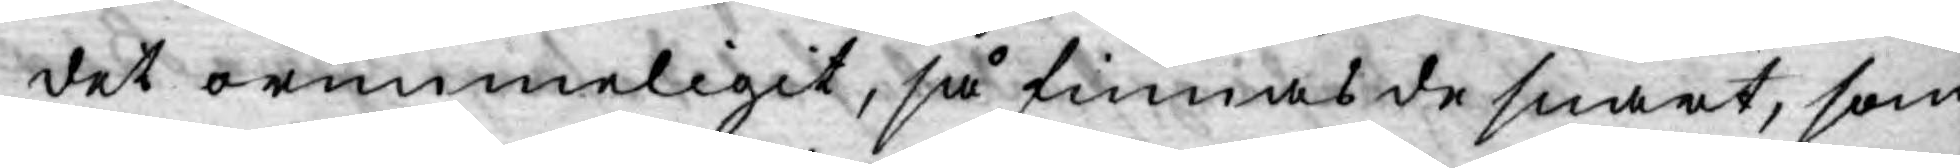det orimmeligit, så finnas de snart, som
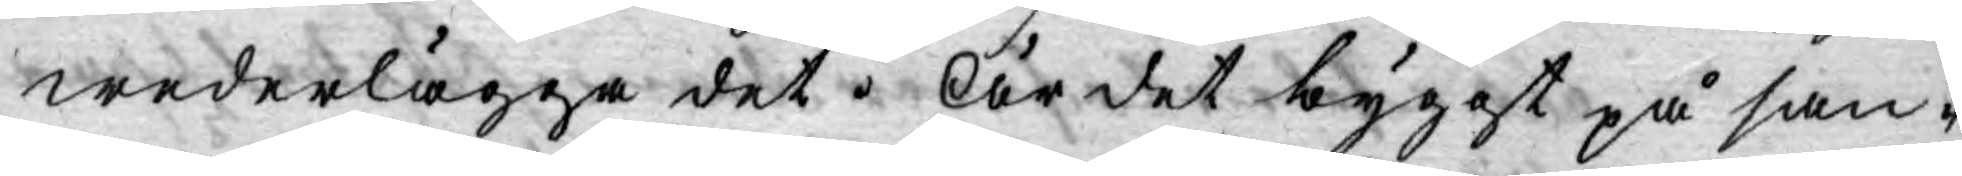wederlägga det. Är det byggt på san¬
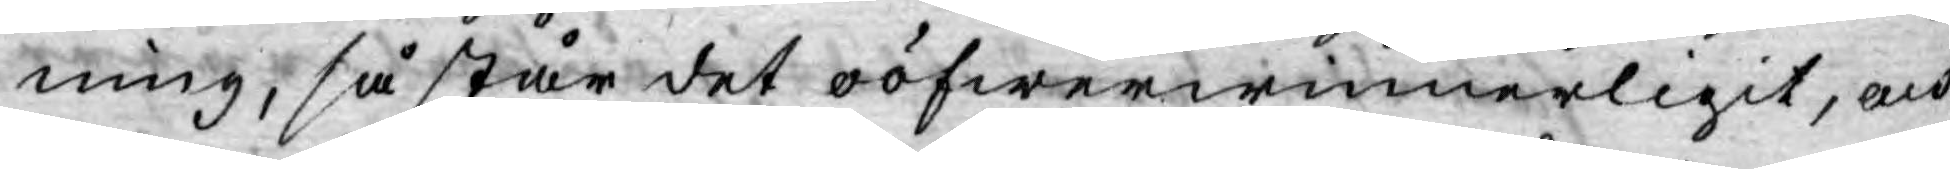ning, så står det oöfwerwinnerligit, och
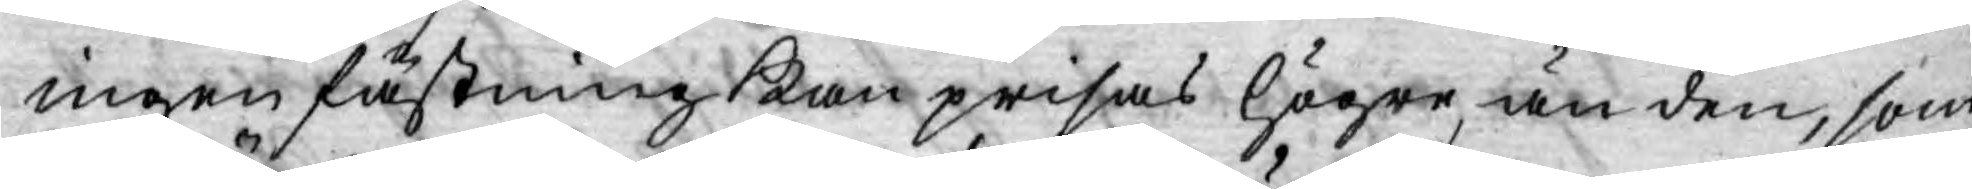ingen fästning kan prisas högre, än den, som
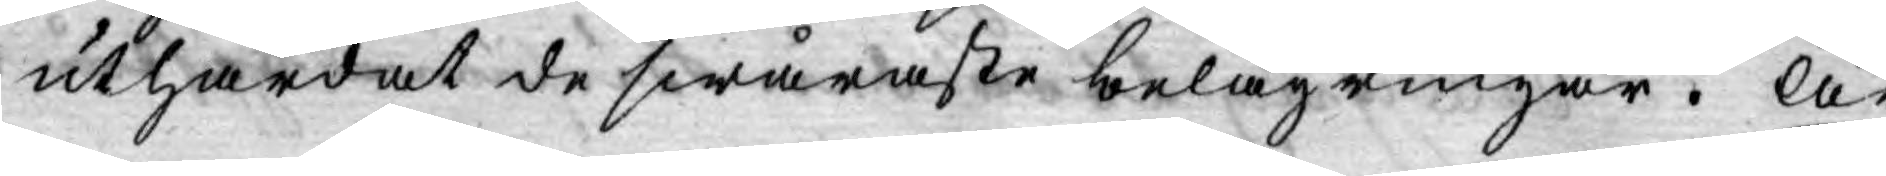uthärdat de swåraste belägringar. Är
